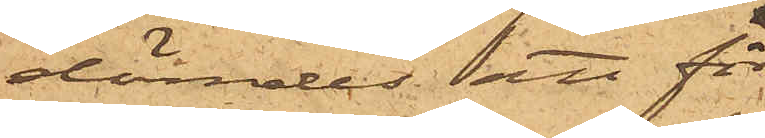dömdes att för
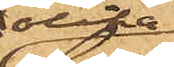olika
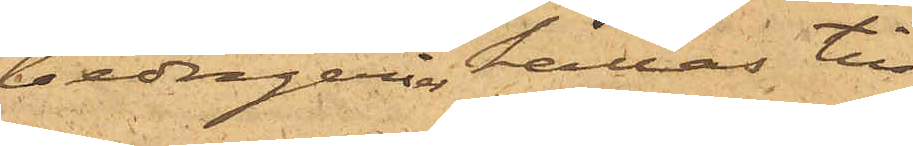bedrägerier hållas till
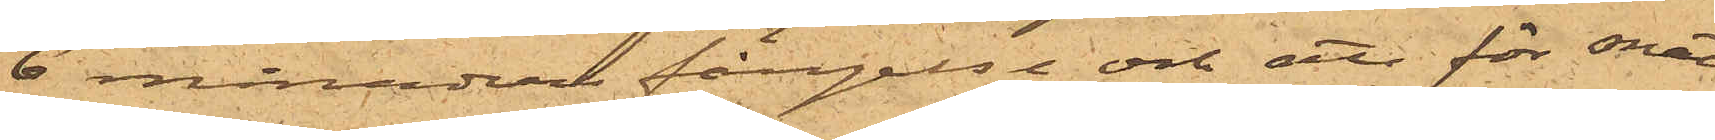6 månaders fängelse och att för snat¬
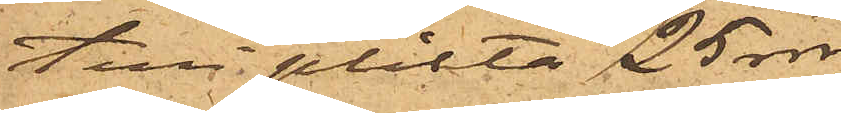teri plikta 25 rdr.
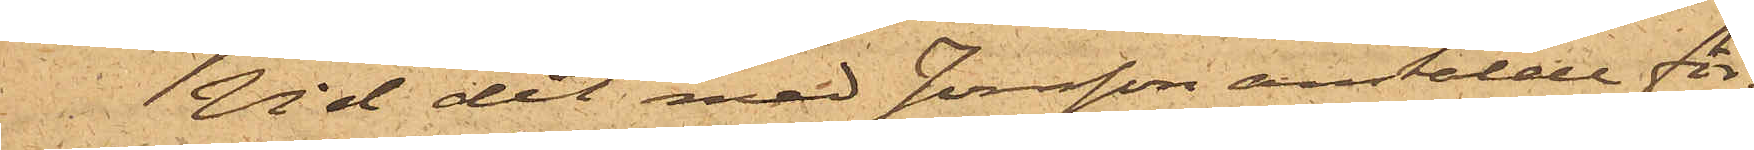Vid det med Jonsson anstälde för¬
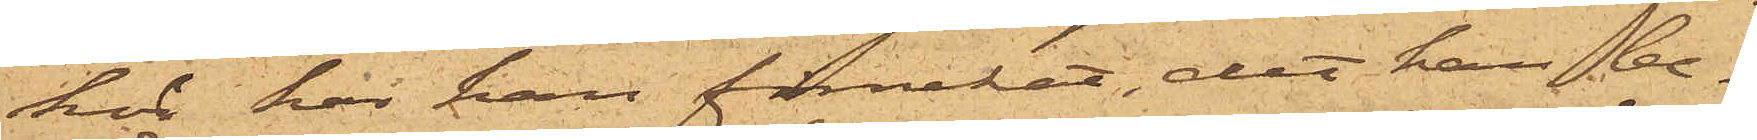hör har han förnekat, det han be¬
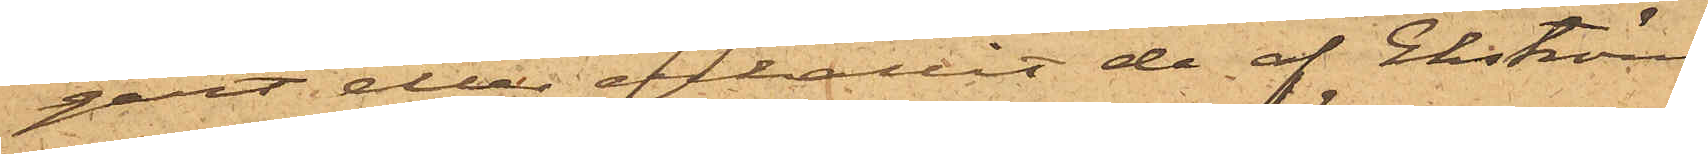gärt eller erhållit de af Ekström
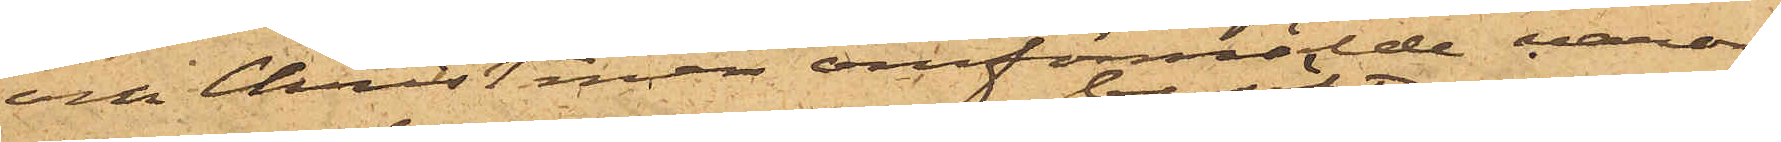och Christman omförmälde varor,
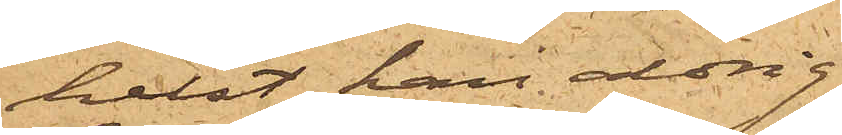helst han aldrig
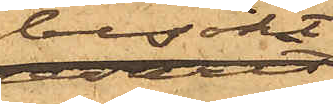besökt
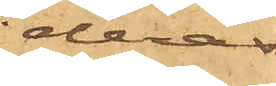deras
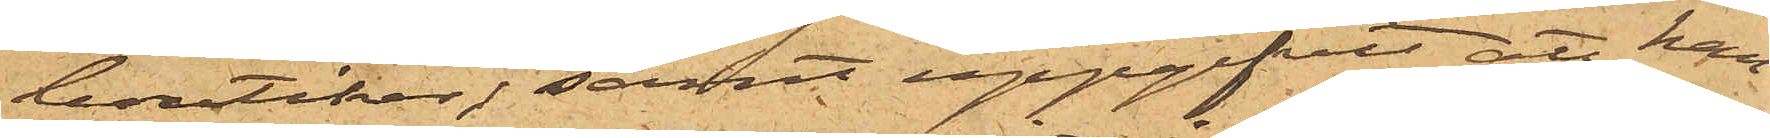boutiker; samt uppgifvit att han
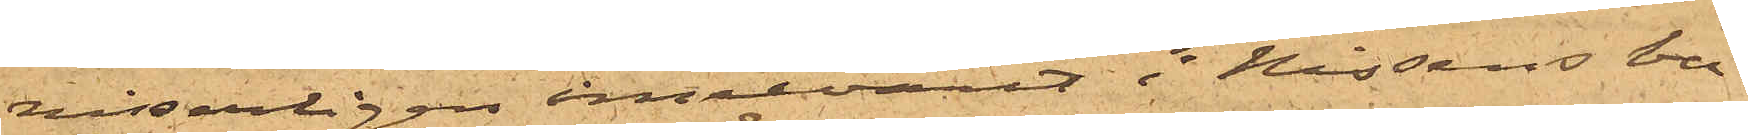visserligen innevarit i Nissens bou¬
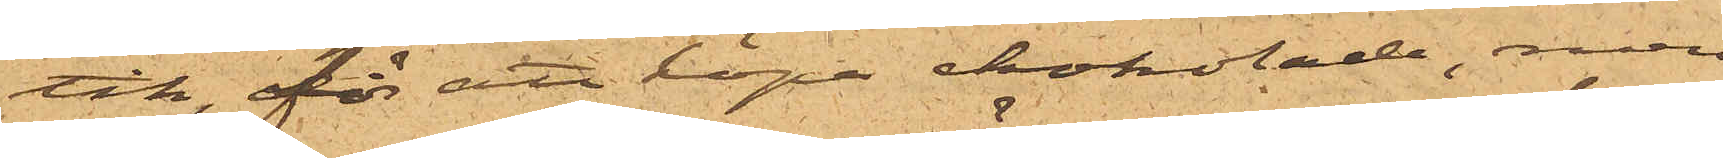tik, för att köpa chokolade, men
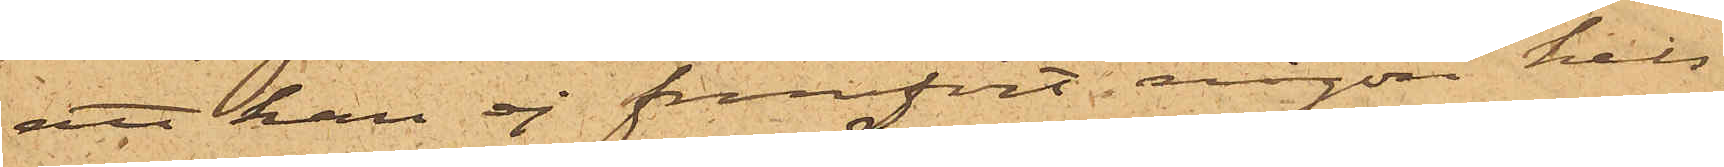att han ej framfört någon hels¬
